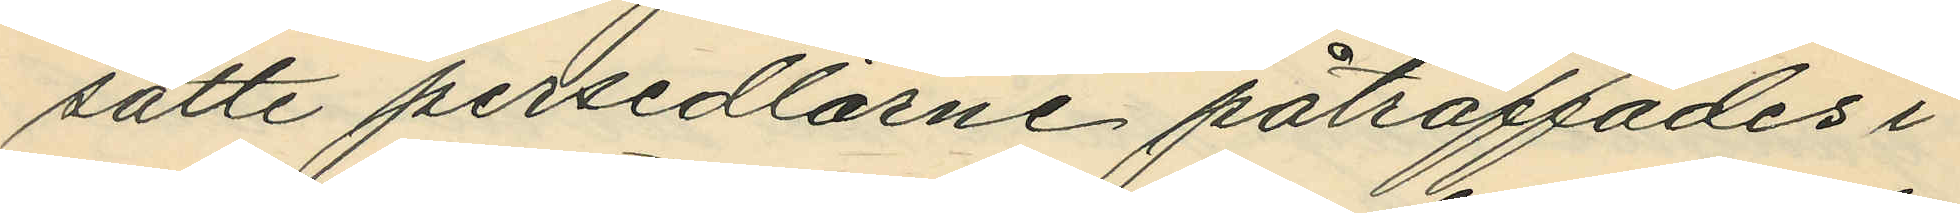satte persedlarne påträffades i
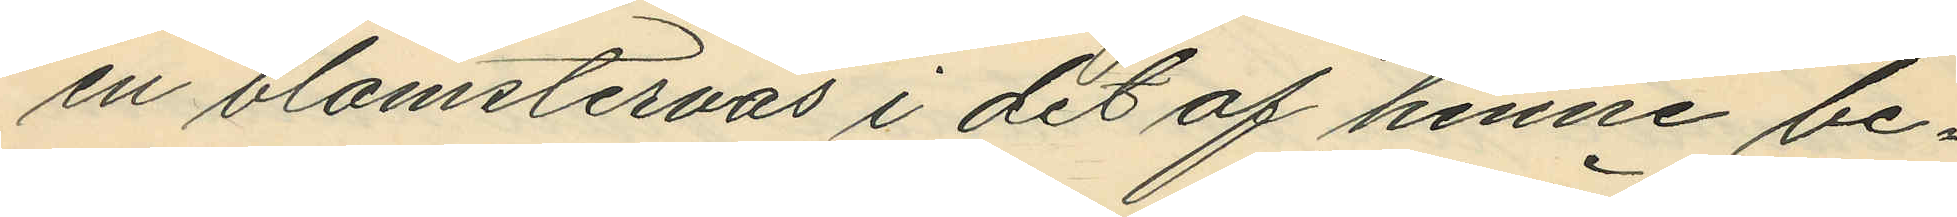en blomstervas i det af henne be¬
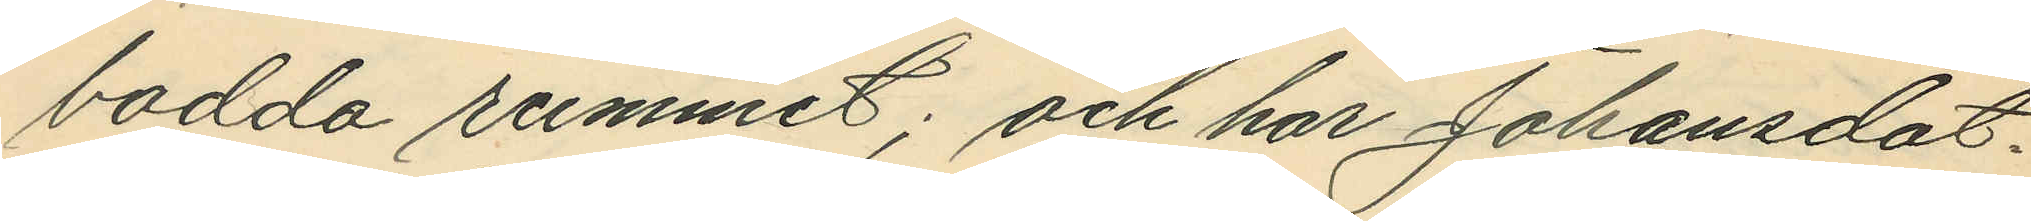bodda rummet; och har Johansdot¬
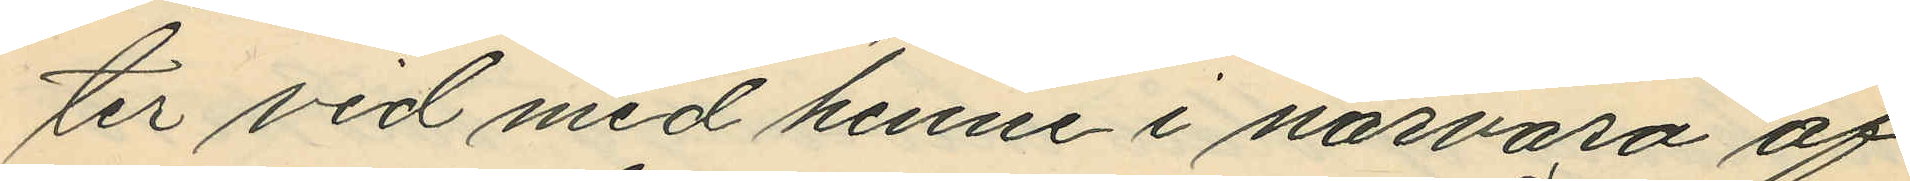ter vid med henne i närvaro af
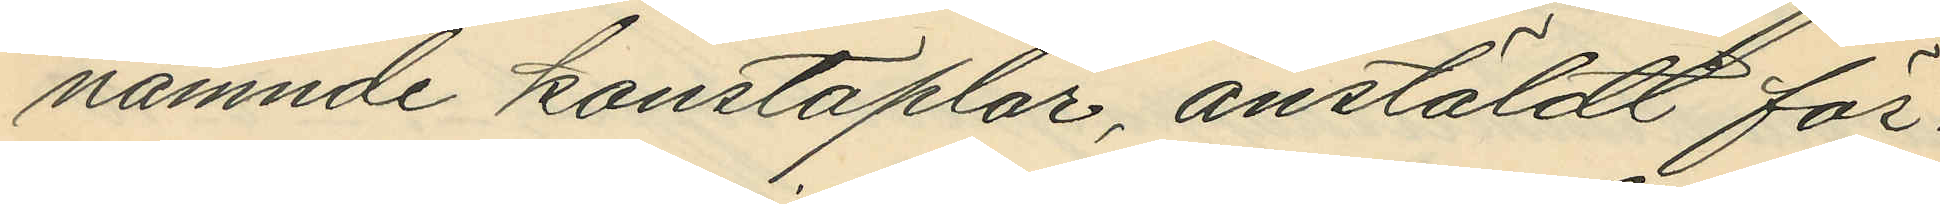nämnde konstaplar, anstäldt för¬
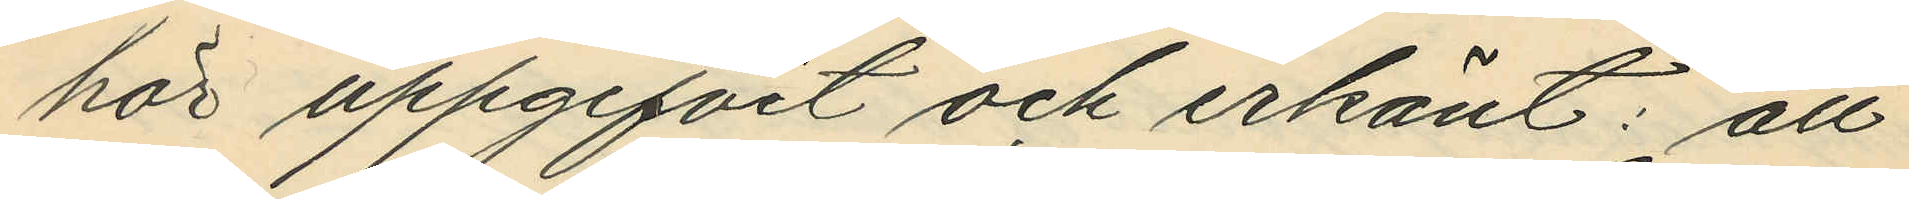hör uppgifvit och erkänt: att
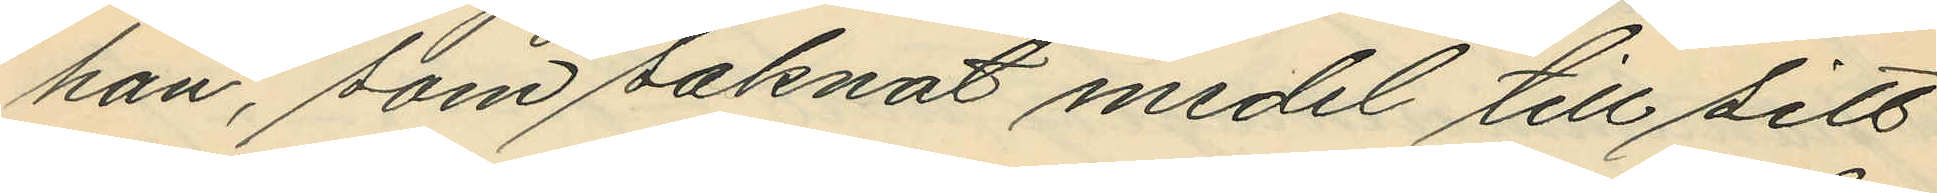hon, som saknat medel till sitt
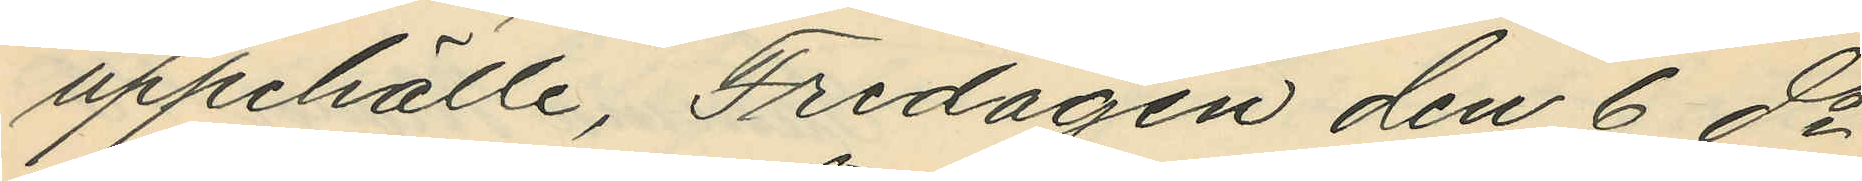uppehälle, Fredagen den 6 ds
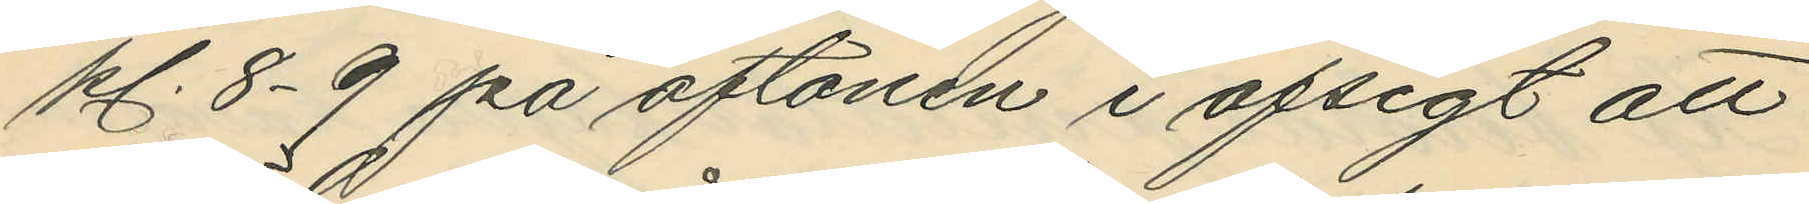kl. 8-9 på aftonen i afsigt att
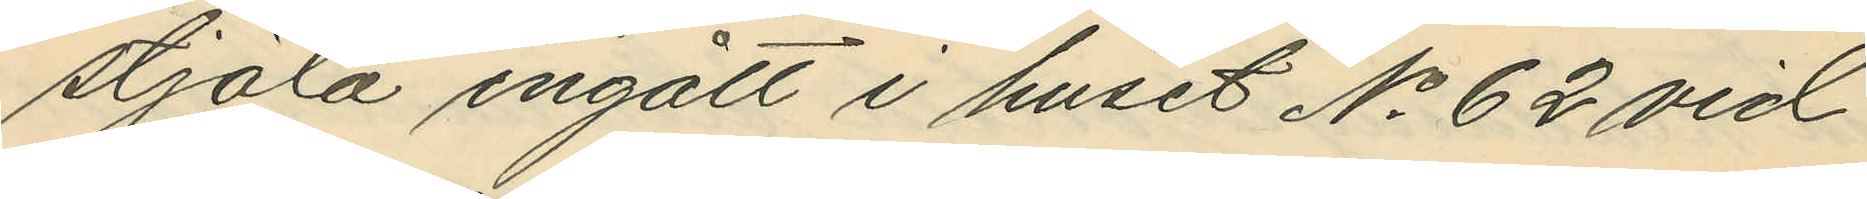stjäla ingått i huset No 62 vid
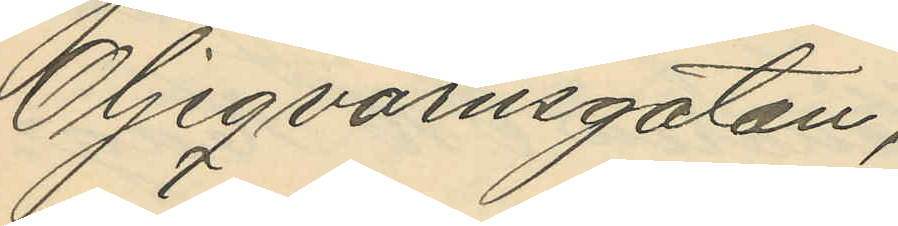Oljeqvarnsgatan;
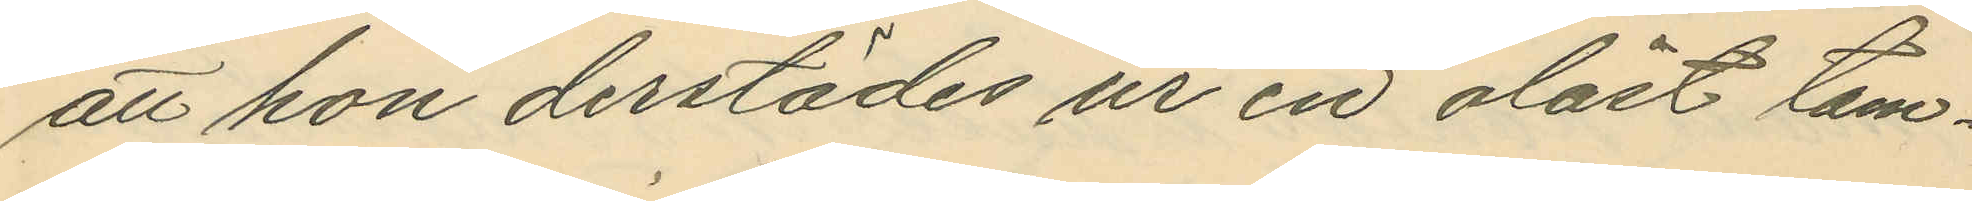att hon derstädes ur en olåst tam¬
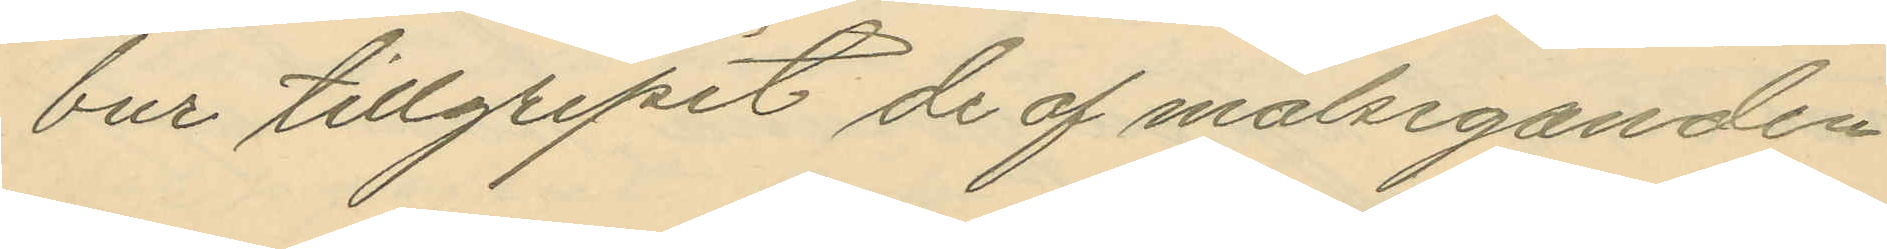bur tillgripit de af målseganden
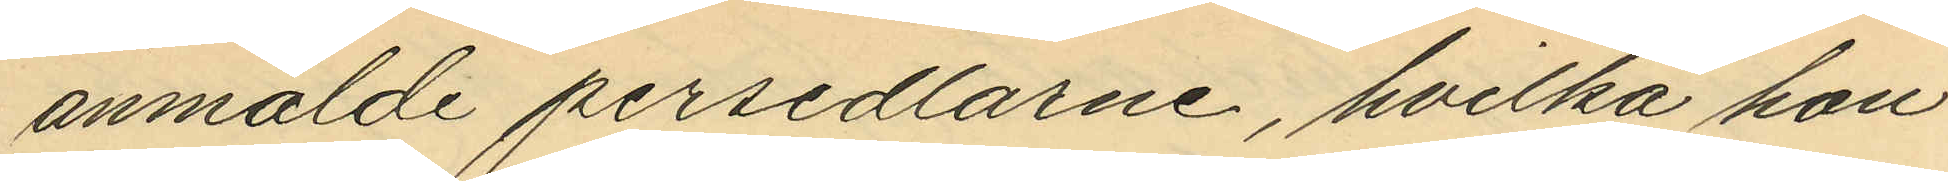anmälde persedlarne, hvilka hon
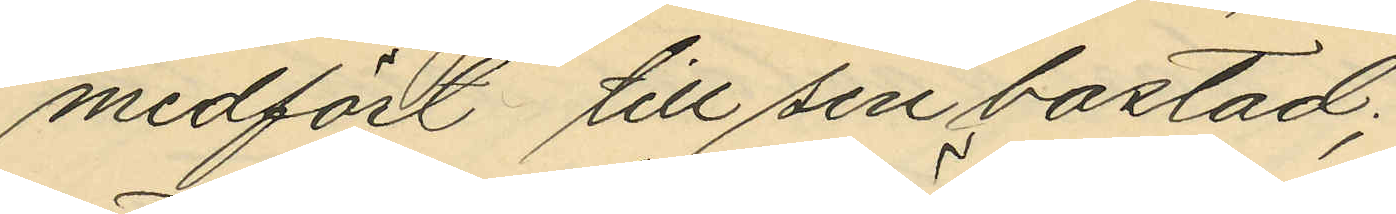medfört till sin bostad;
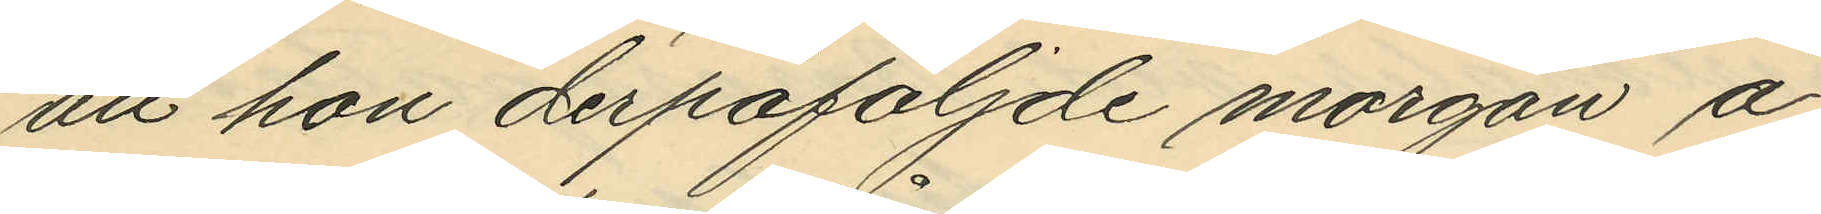att hon derpåföljde morgon å
